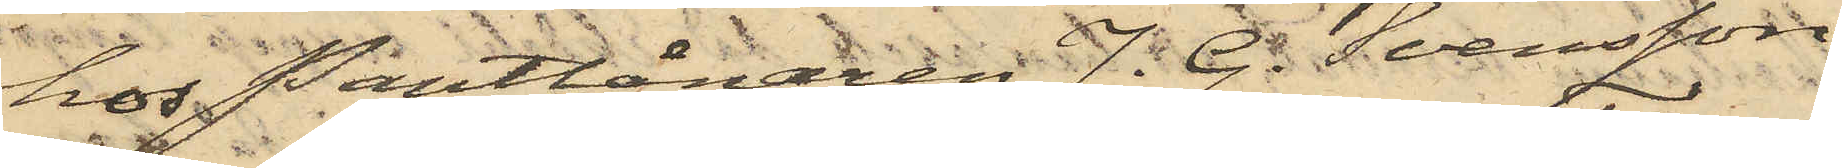hos Pantlånaren J. G. Svensson
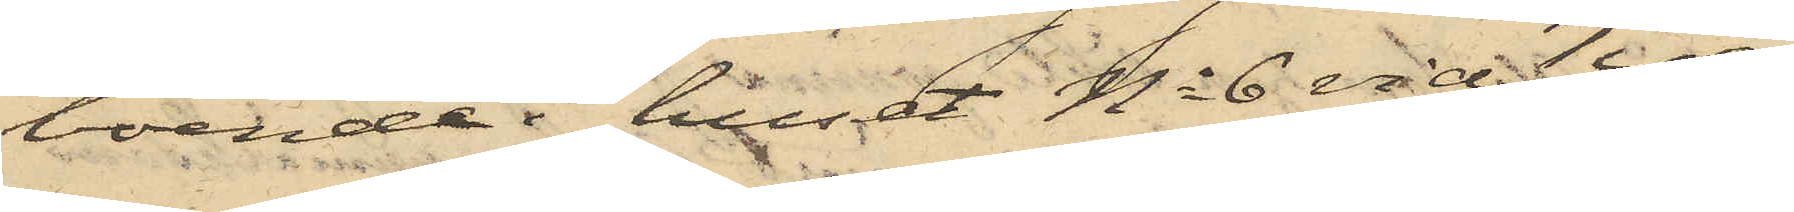boende i huset No 6 vid Tyg¬
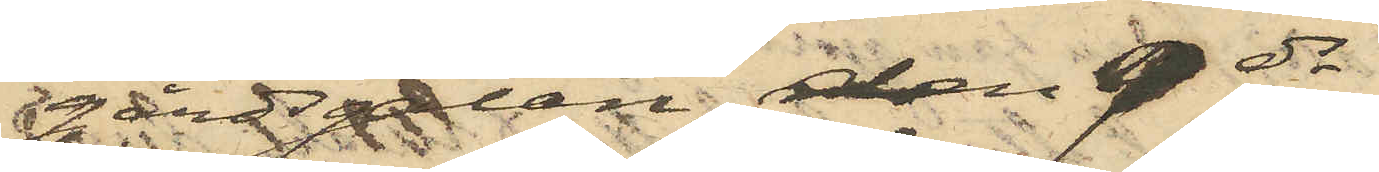gårdsgatan den 9 ds
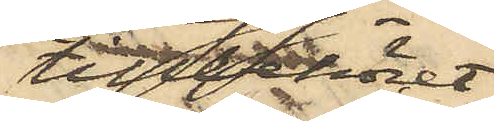tillbehöret
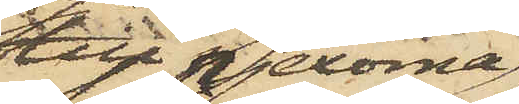till pjexorna
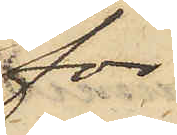för
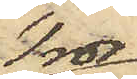1 rdr
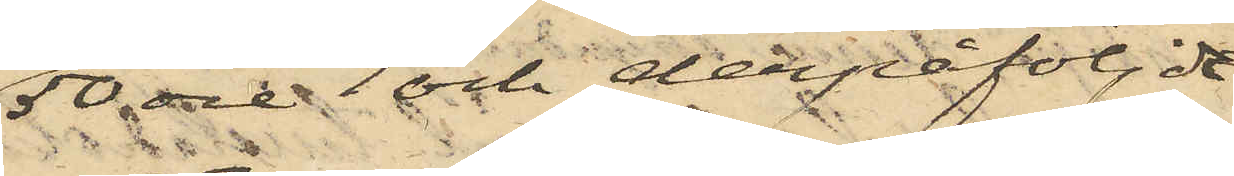50 öre och derpåföljde
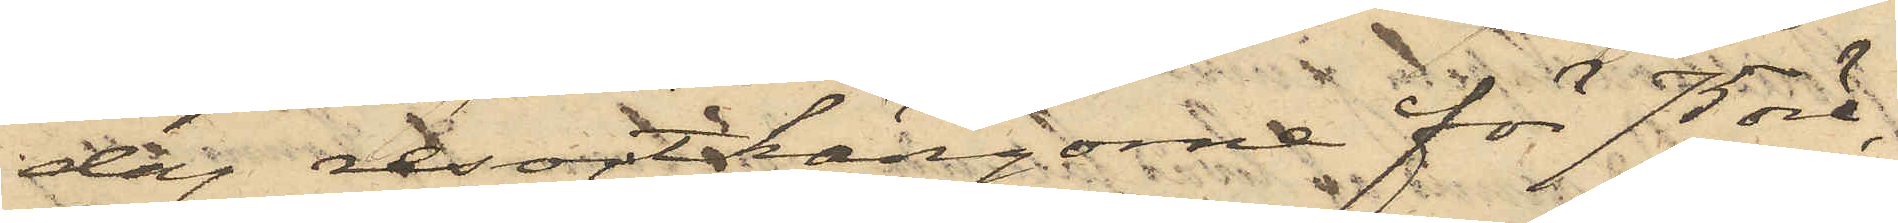dag resortkängorne för 75 öre,
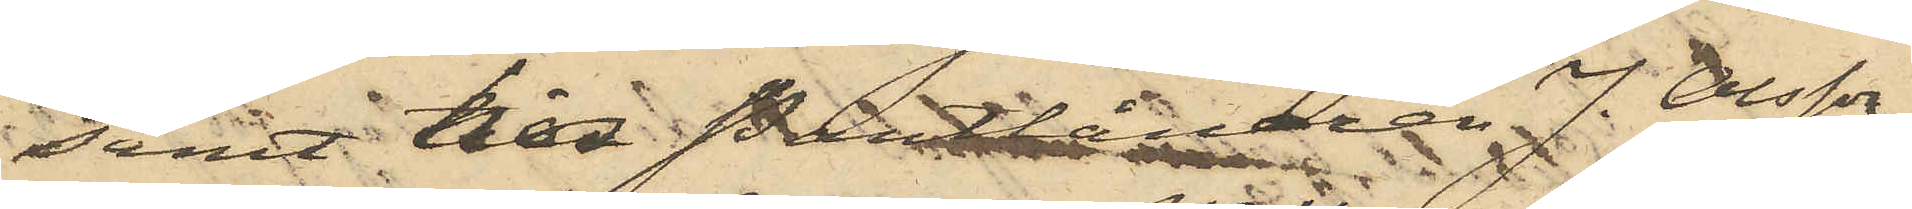samt till Pantlånaren J. Olsson
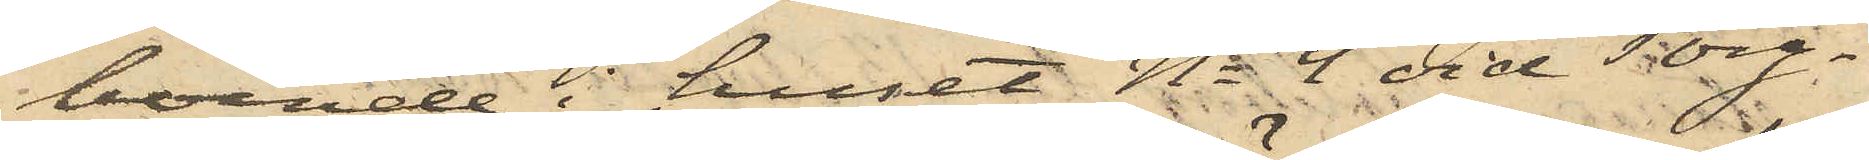boende i huset No 4 vid Torg¬
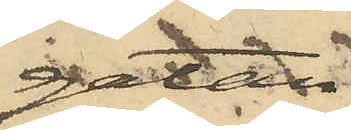gatan
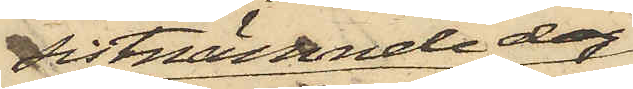sistnämnde dag
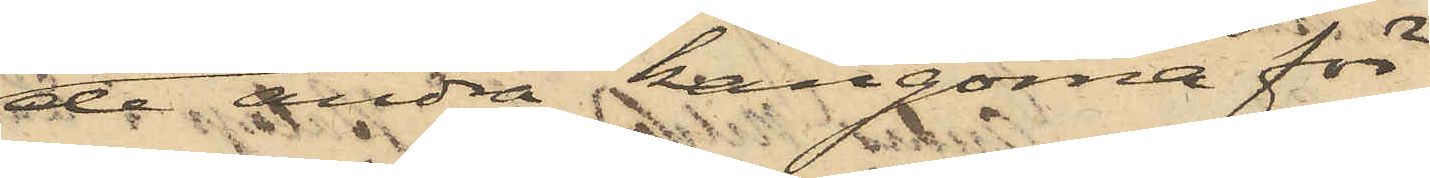de andra kängorna för
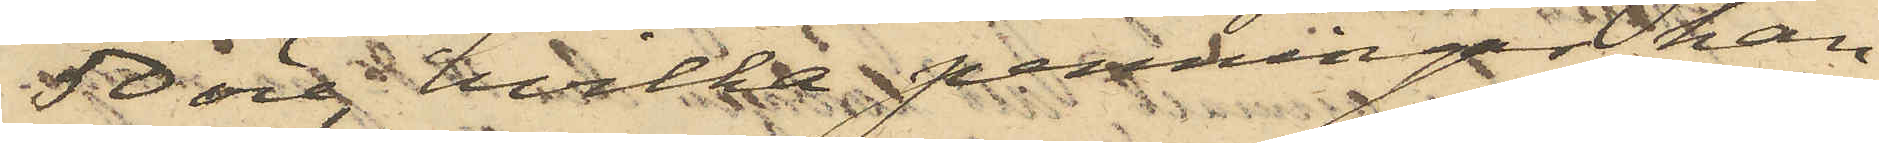50 öre, hvilka penningar han
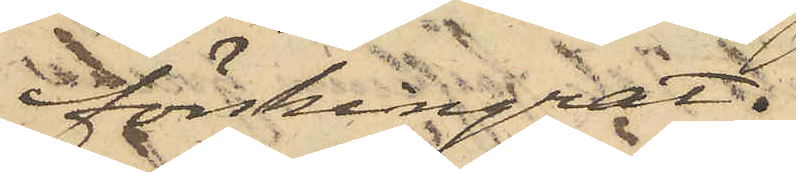förskingrat.
